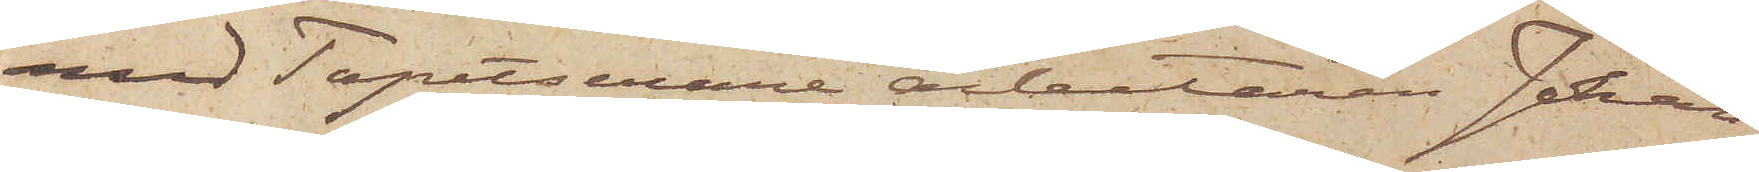med Tapetserare arbetaren Johan
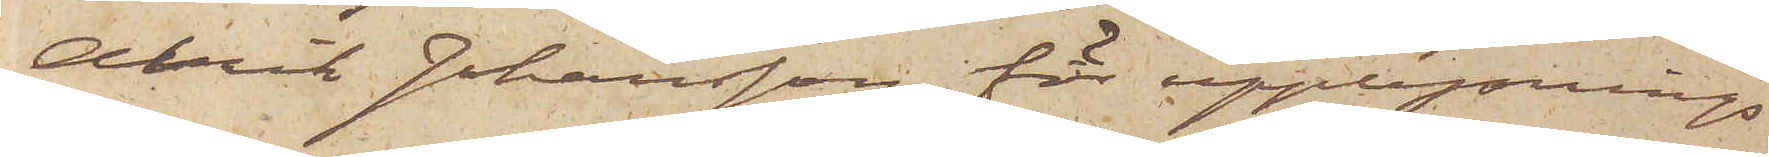Alrik Johansson för upplysnings
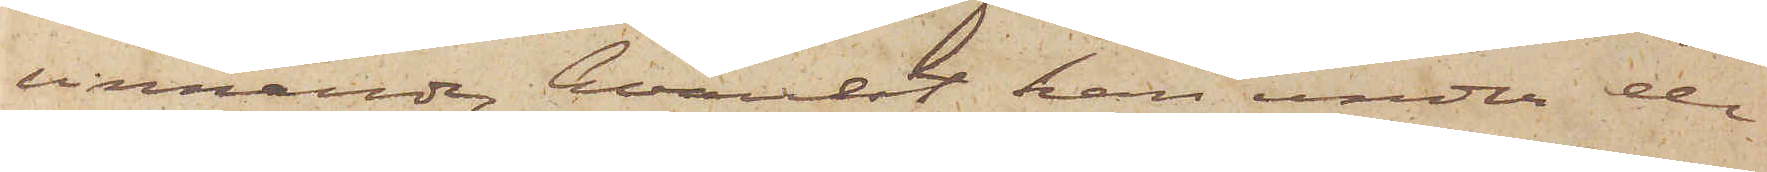vinnande, hvarest han under de
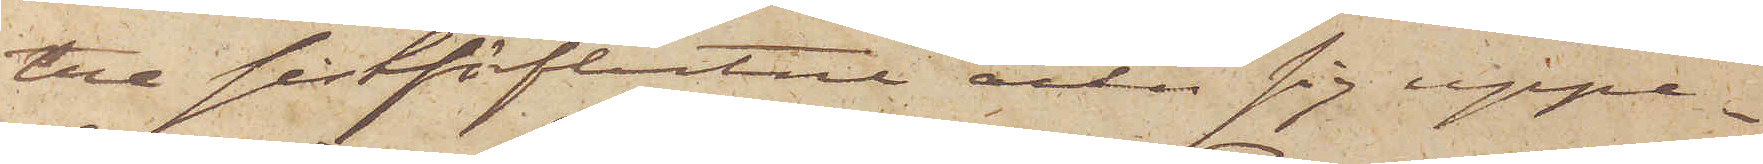tre sistförflutne åren sig uppe¬
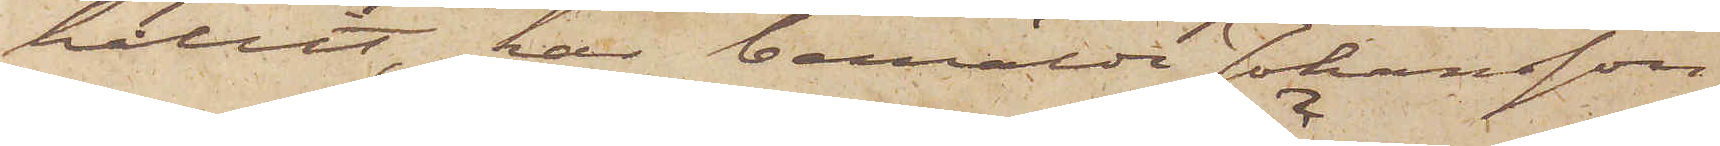hållit, har bemälde Johansson,
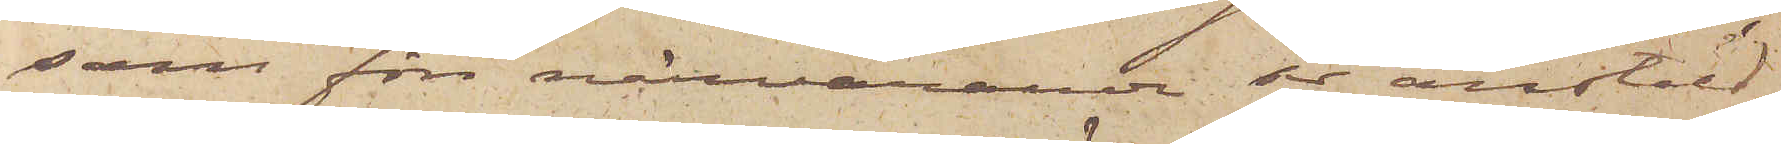som för närvarande på anstäld
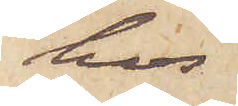hos
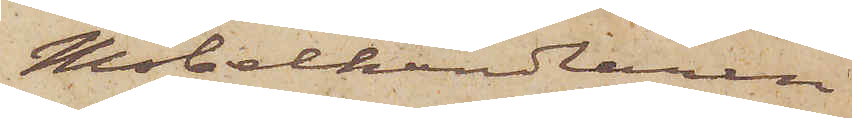Mobelhandlaren
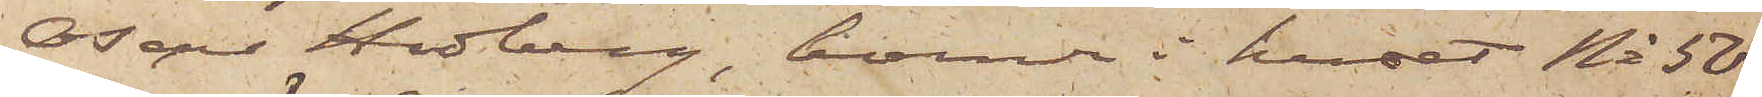Oscar Hedberg, boende i huset No 50
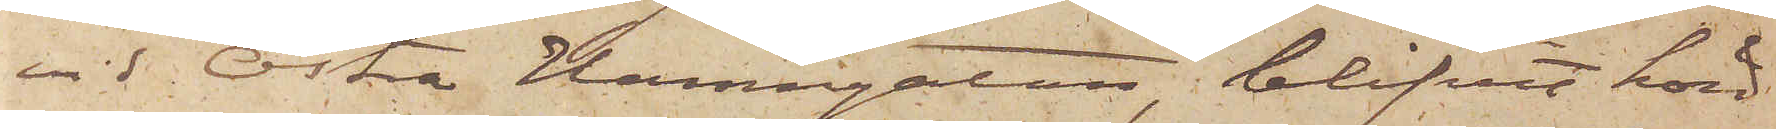vid Östra Hamngatan, blifvit hörd,
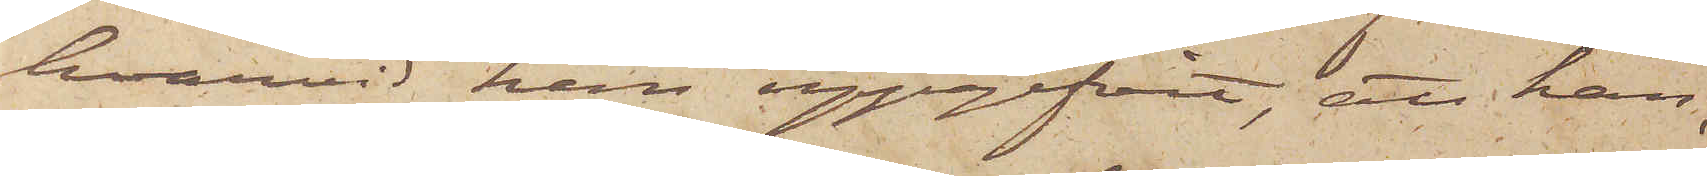hvarvid han uppgifvit, att han,
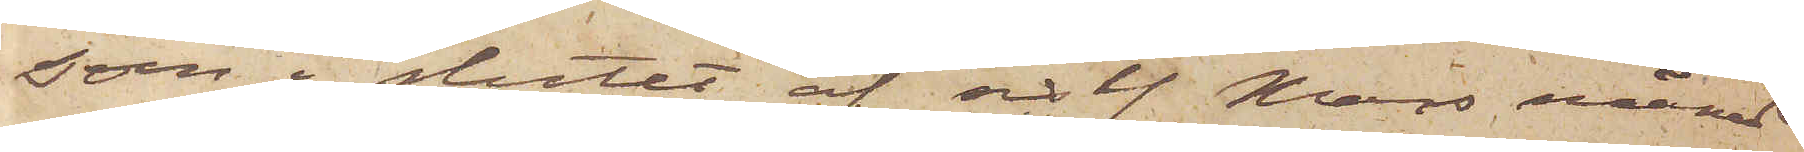som i slutet af sistl. Mars månad
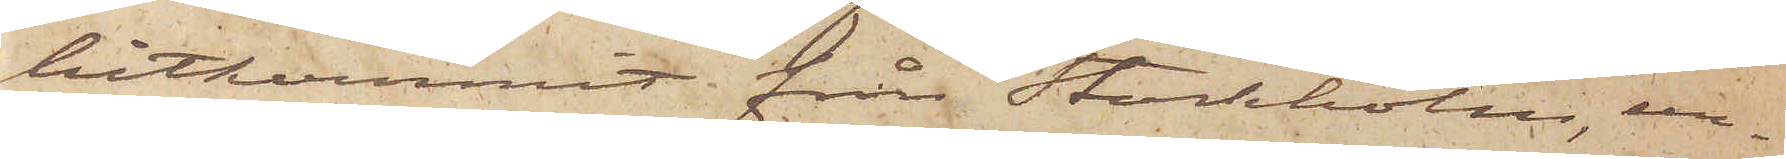hitkommit från Stockholm, un¬
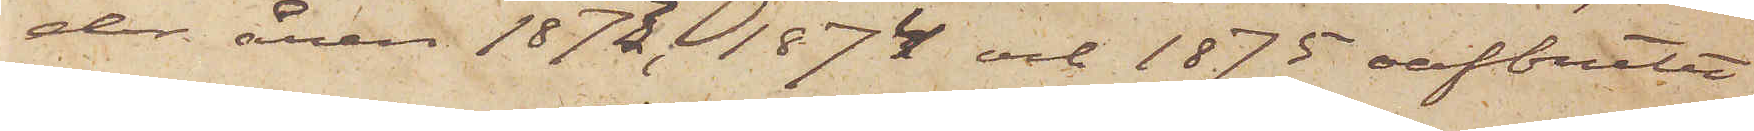der åren 1873, 1874 och 1875 oafbrutet
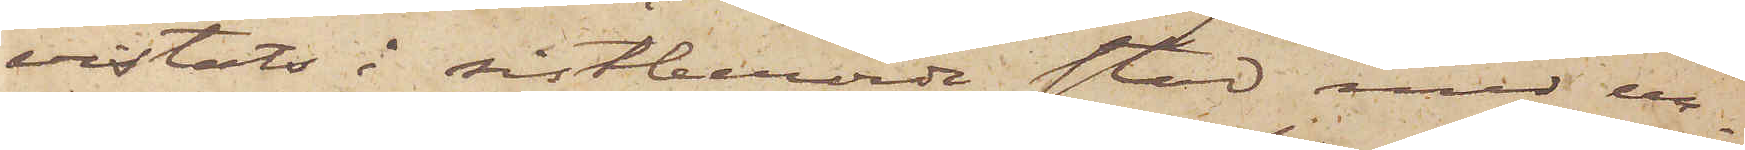vistats i sistberörde stad med un¬
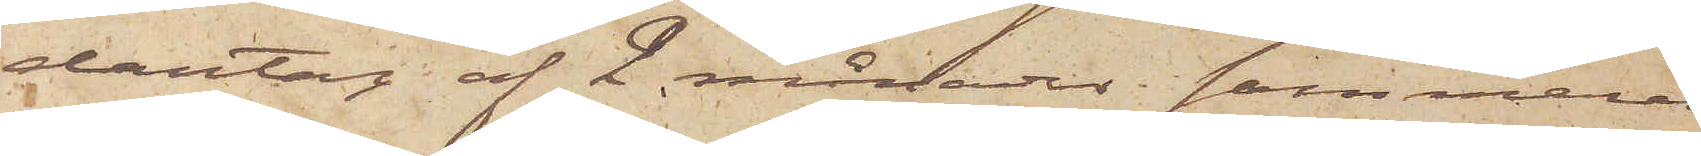dantag af 2 månader sommaren
